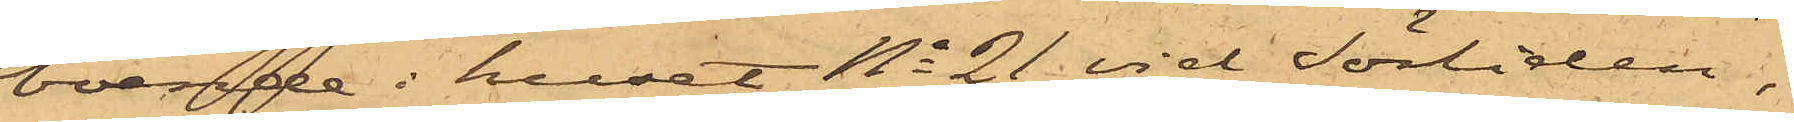boende i huset No 21 Sörliden,
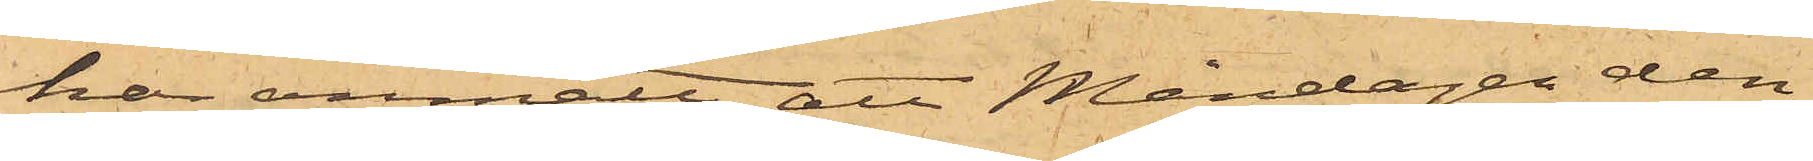har anmält att Måndagen den
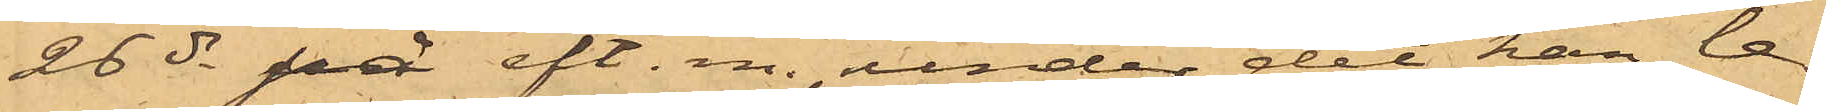26 ds på eft. m., under det han le¬
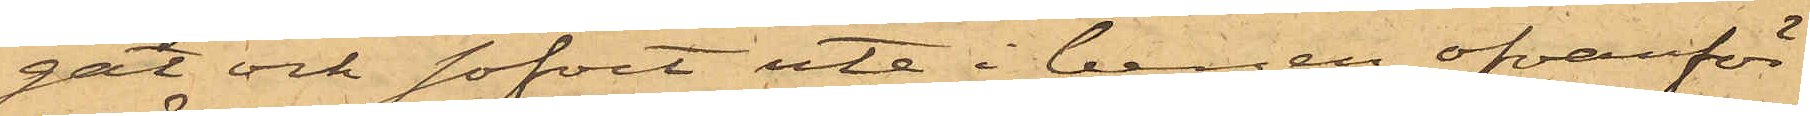gat och sofvit ute i bergen ofvanför
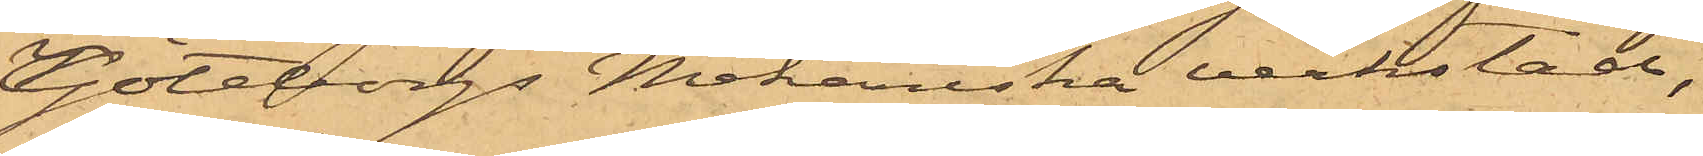Göteborgs Mekaniska verkstad,
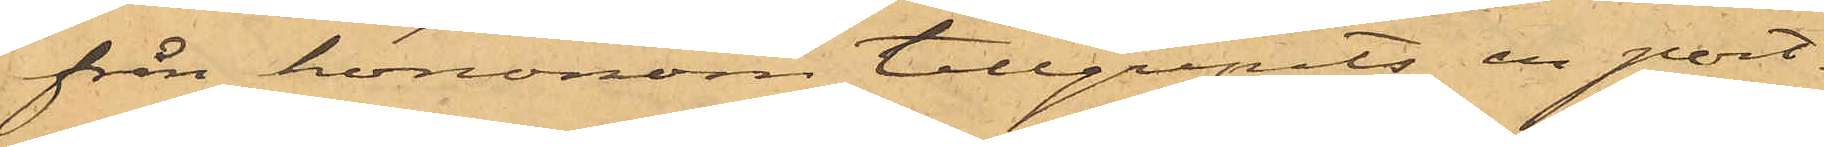från hononom tillgripits en port¬
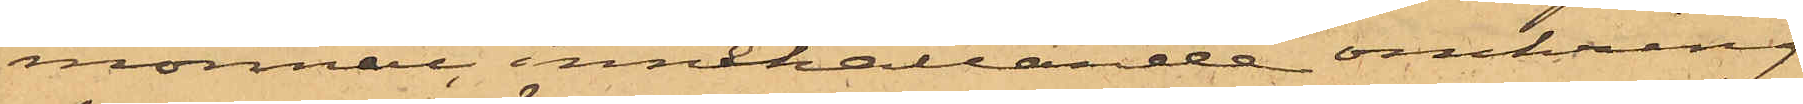monnai, innehållande omkring
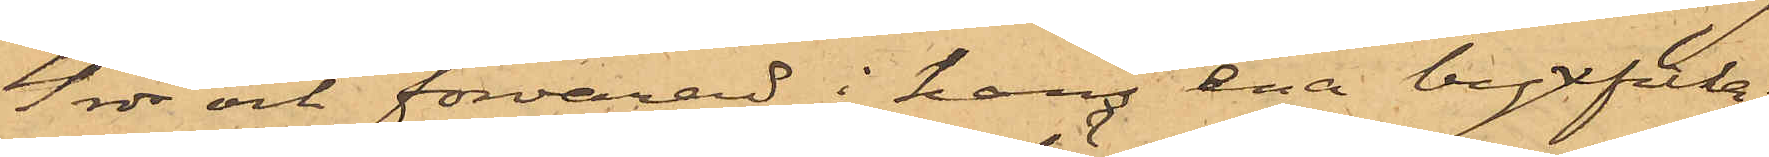4 rdr och förvarad i hans ena byxficka;
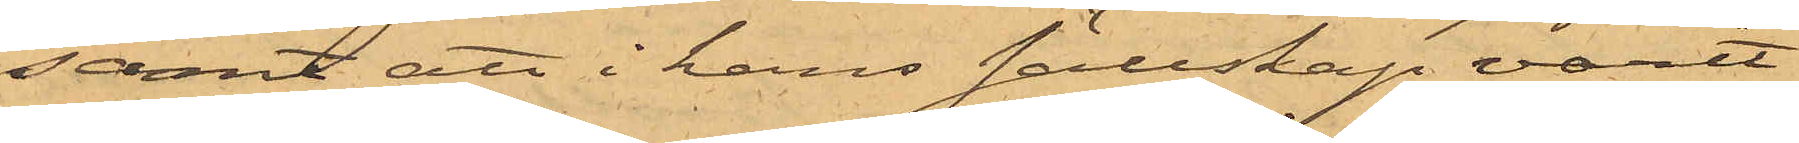samt att i hans sällskap varit
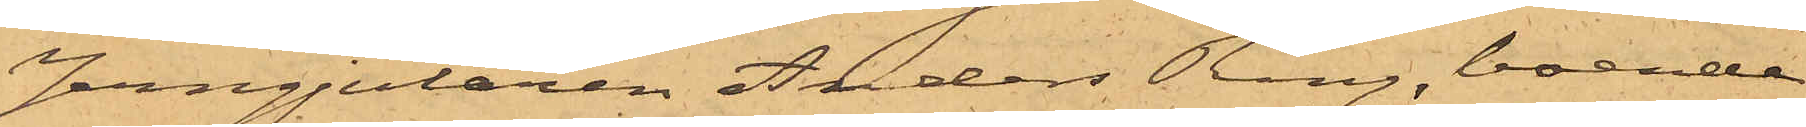Jerngjutaren Anders Ring, boende
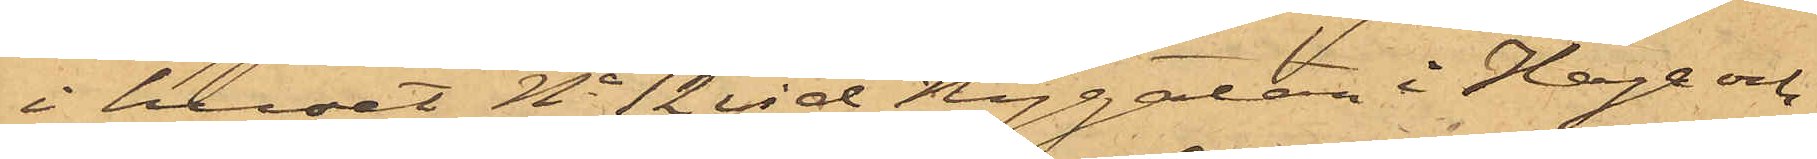i huset No 12 vid Nygatan i Haga och
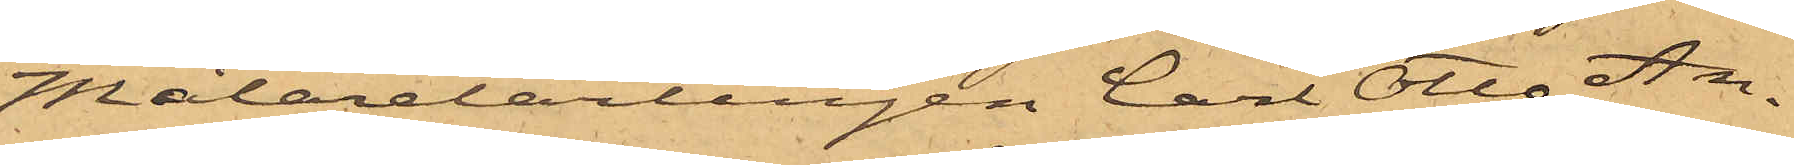Målarelärlingen Carl Otto An¬
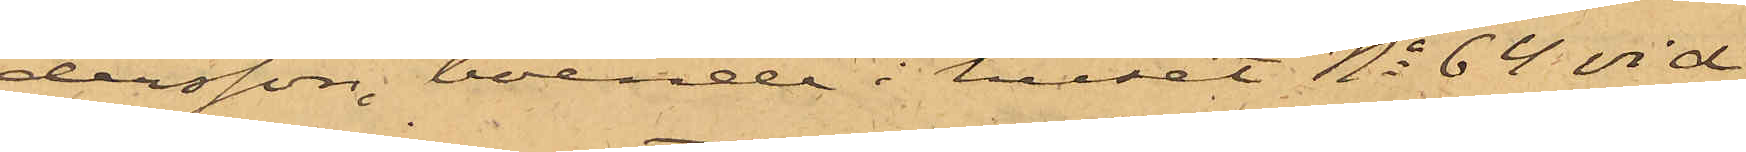dersson, boende i huset No 64 vid
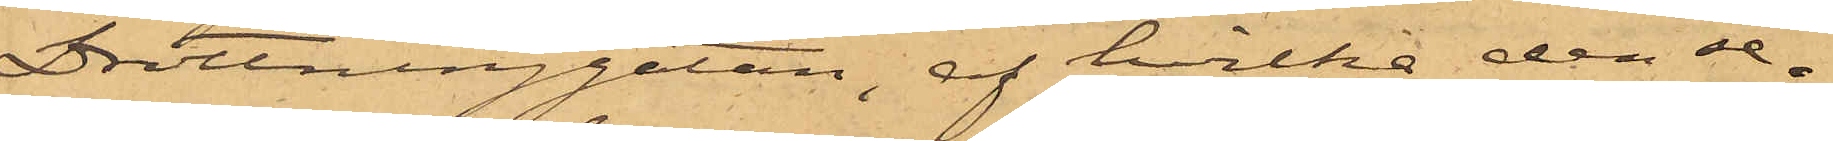Drottninggatan, af hvilka den den se¬
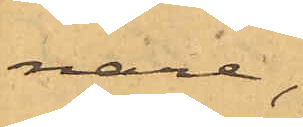nare,
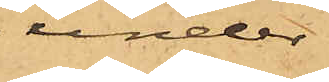under
